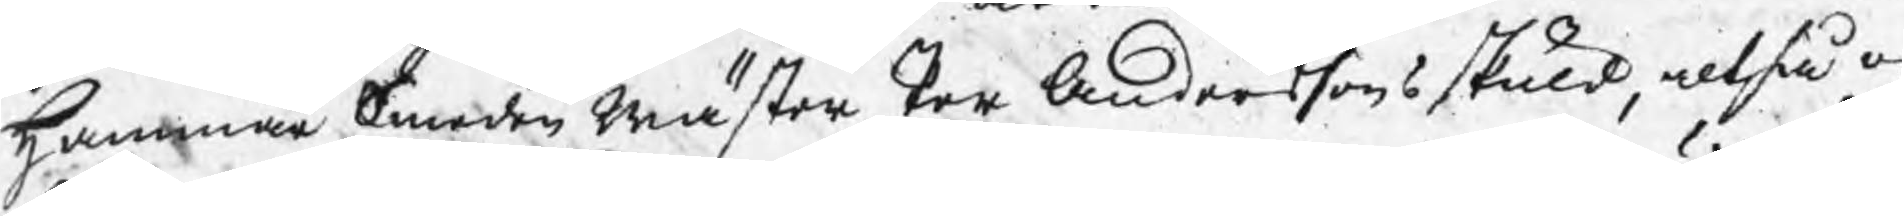Hammar Smeden Mäster Per Anderssons skuld, altså o
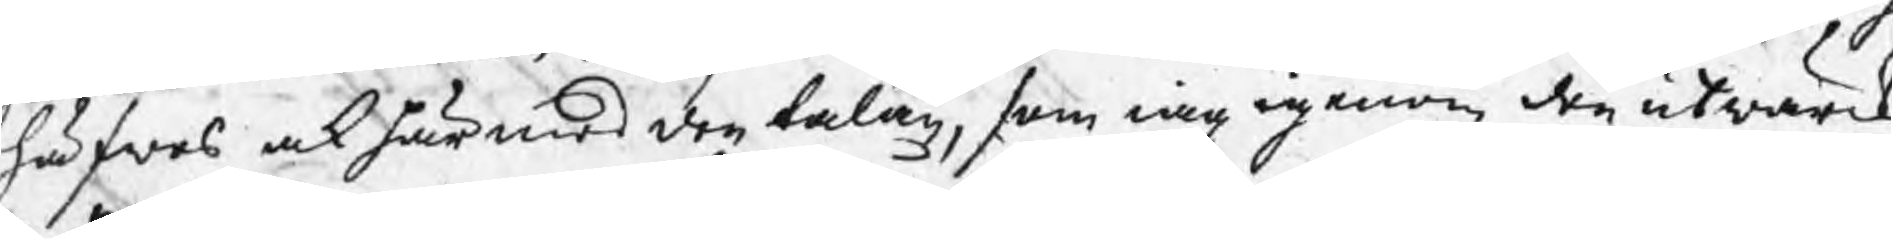häfwes ock härmed den talan, som iag igenom den utwärck
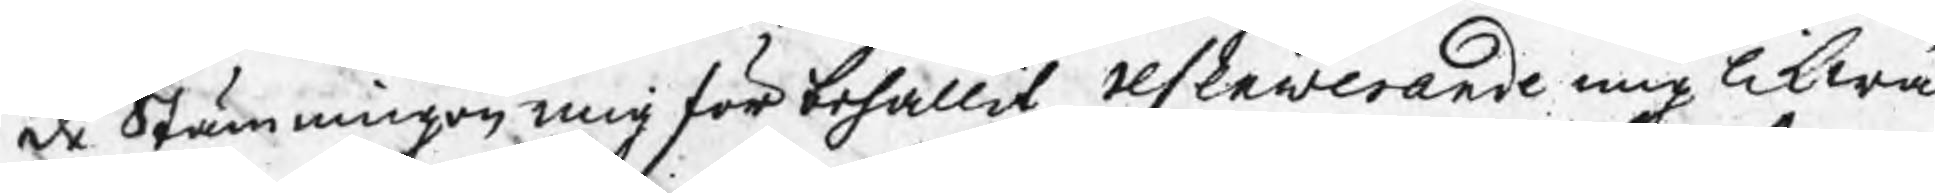de Stämningen mig förbehållit reslawerande mig likwä
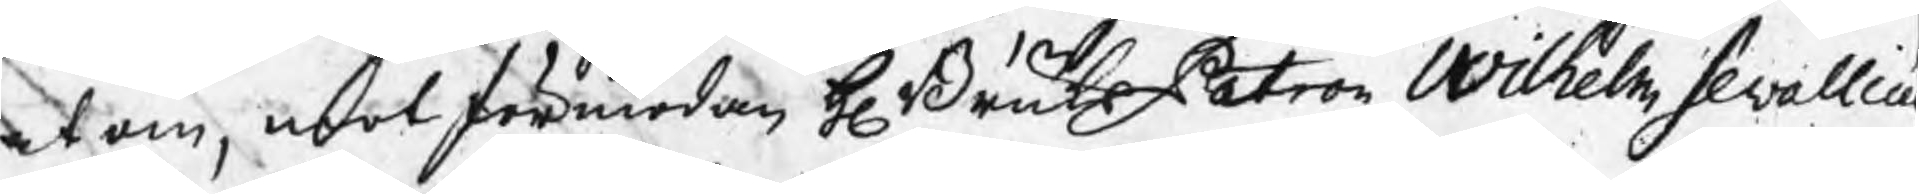at om, mot förmodan H BruksPatron Wilhelm Sewalliu
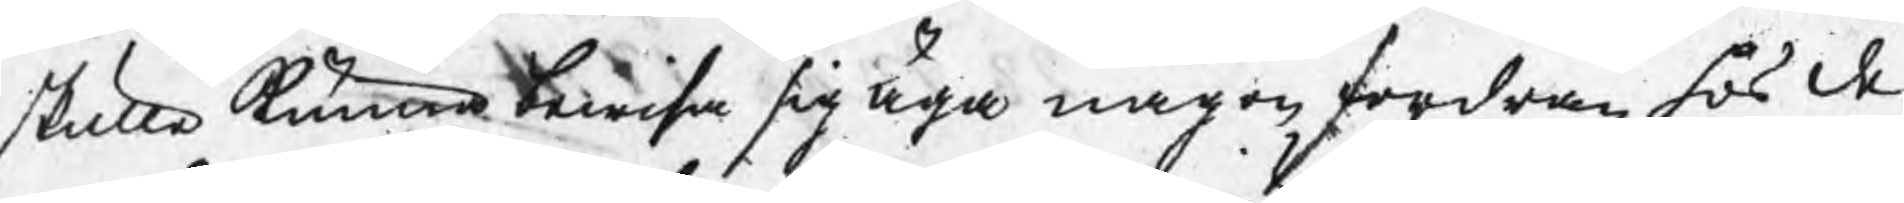skulle kunna bewisa sig äga någon fordran hos de
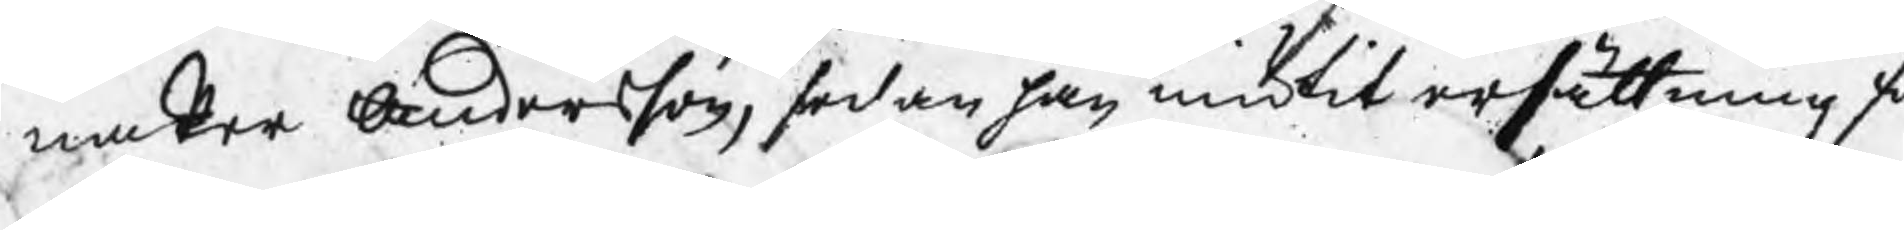na Per Andersson, sedan han niutit ersättning f
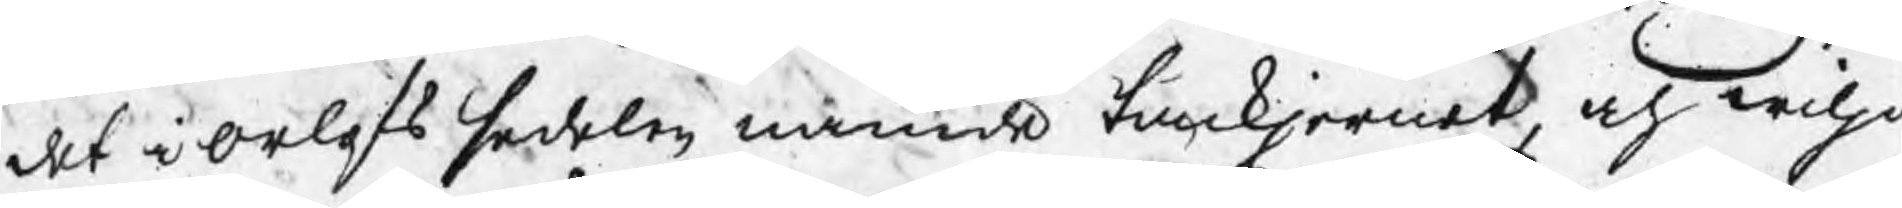det i orlofs sedelen nämde tackjernet, och wilja
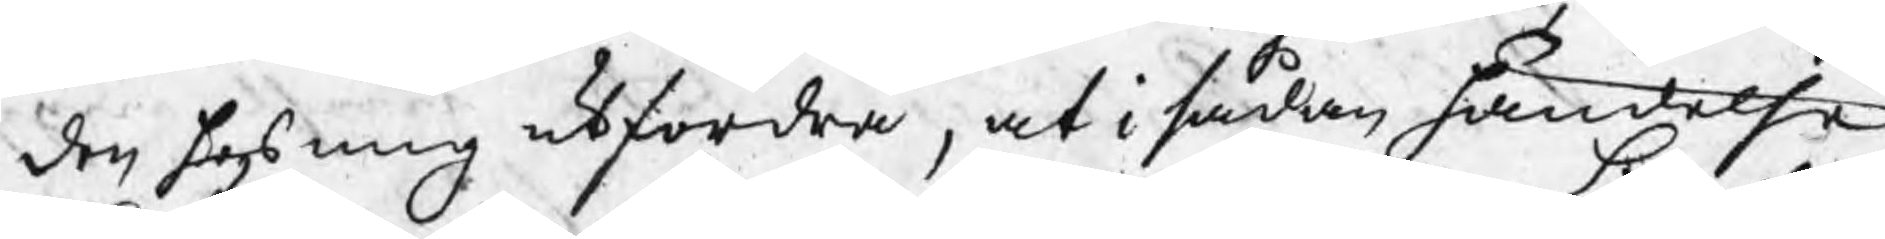den hos mig utfordra, at i sådan händelse
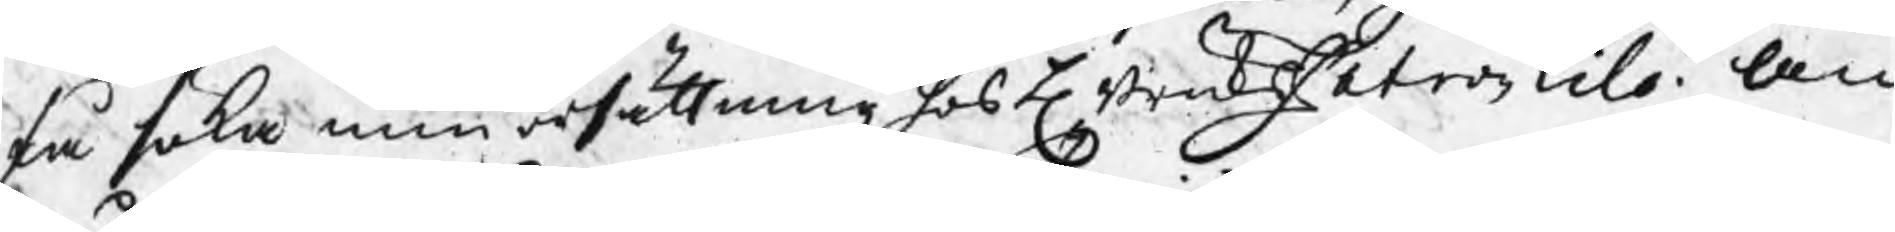få söka min ersättning hos H BruksPatron Lilo. An¬
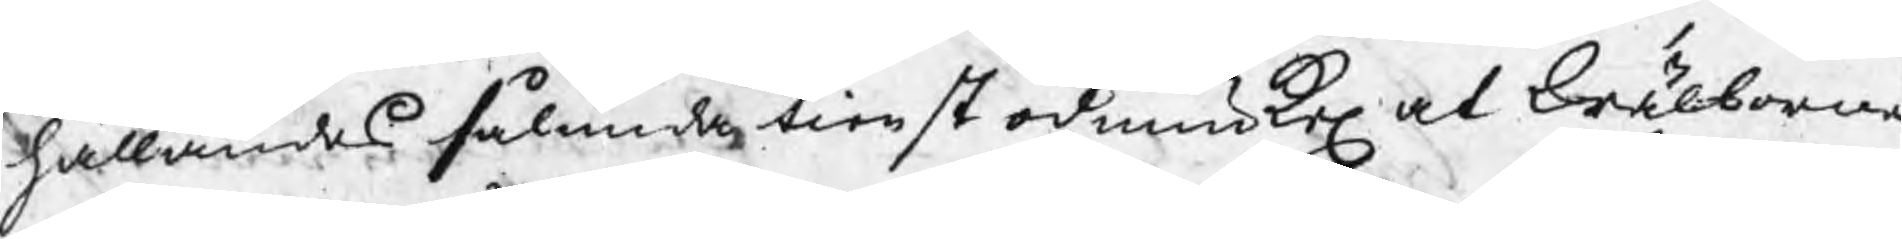hållandes sålunda tienst ödmiukel at Wälborne
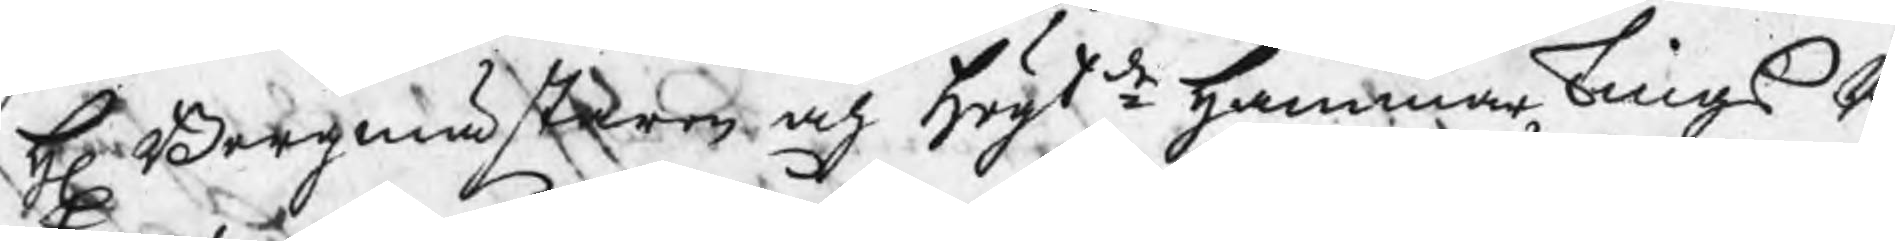H Bergmästaren och Högtde HammartingsR
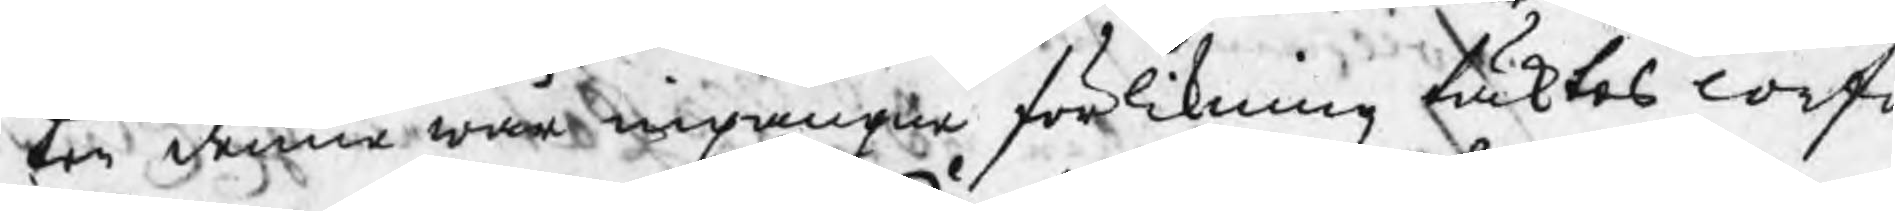ten denne wår ingångne förlikning täktes conf
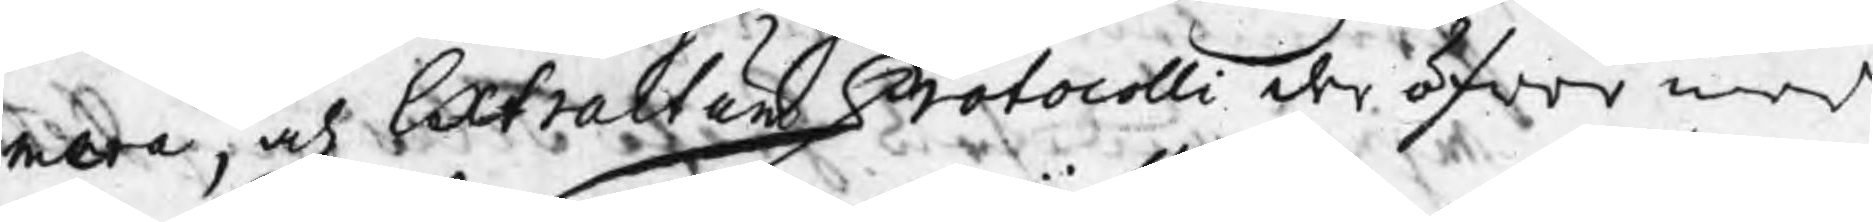mera, och Extractum Protocolli der öfwer in
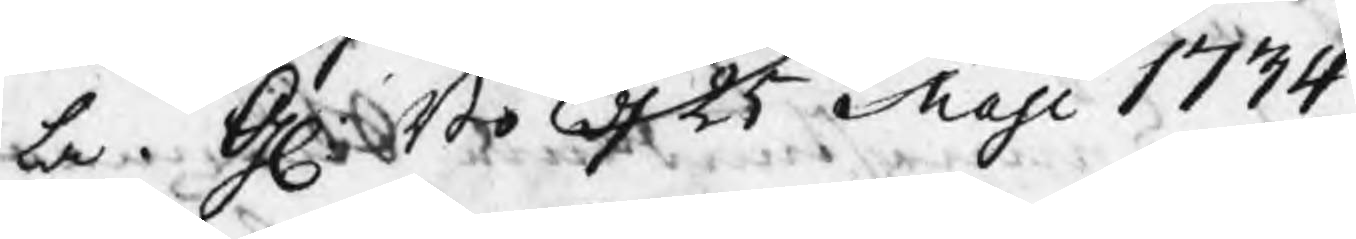la. Gl:Bo d 25 Maji 1734
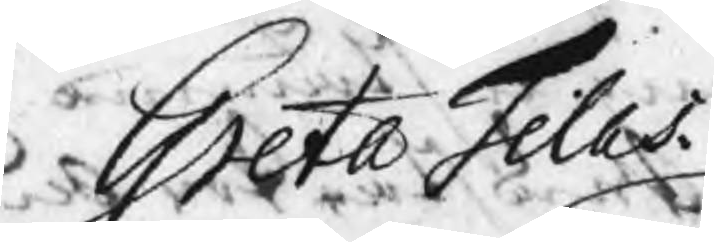Greta Tilas.
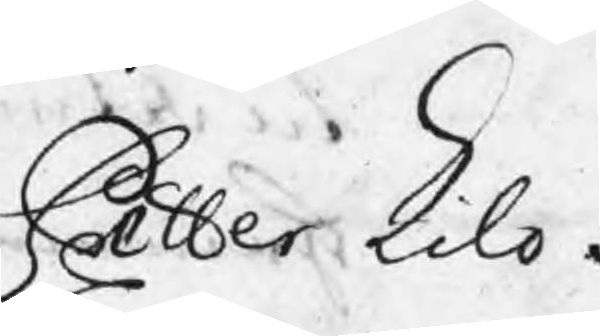Petter Lilo.
